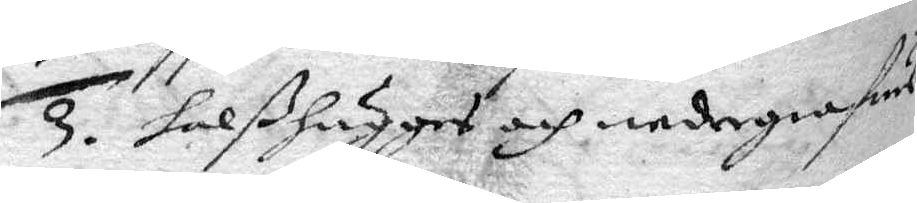3. halßhugges och nedergrafwes
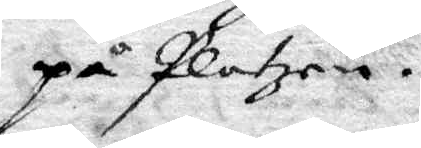på Platzen.
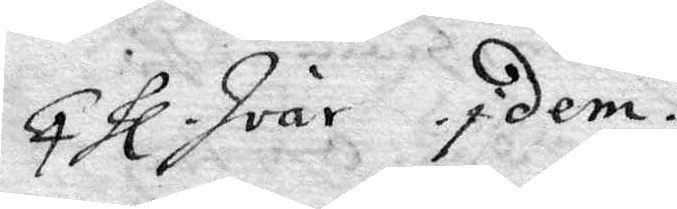4. hl Ivar Idem.
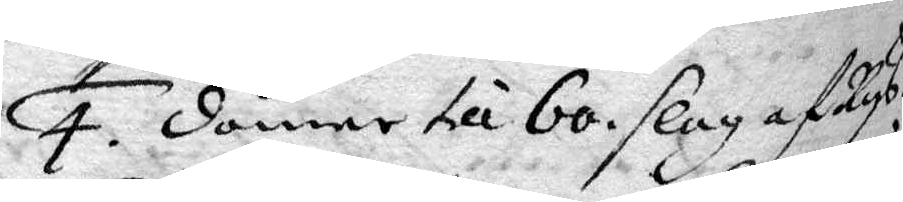4. dömer till 60 slag af Rys.
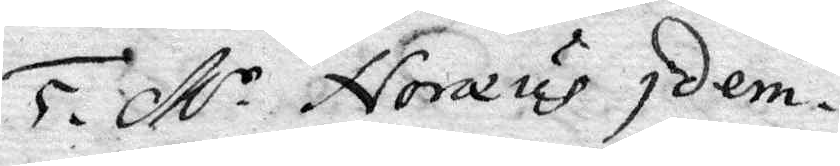5. M.r Noræus Idem.
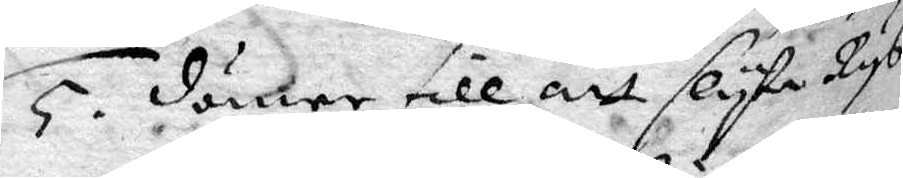5. dömer till att slyta Rys
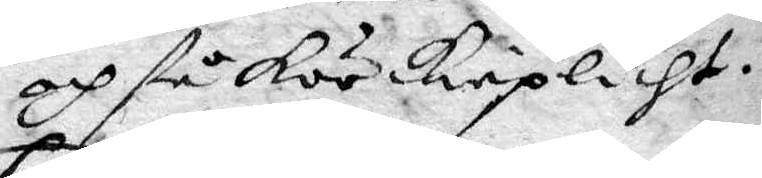och stå körkieplicht.
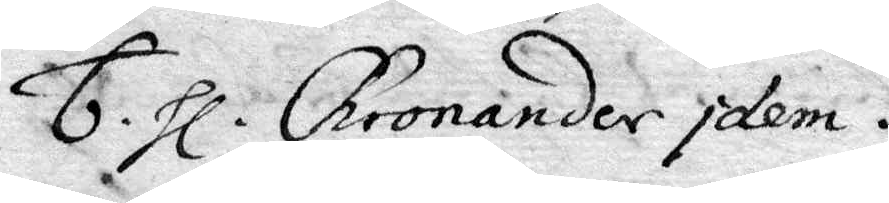6. hl. Chronander Idem.
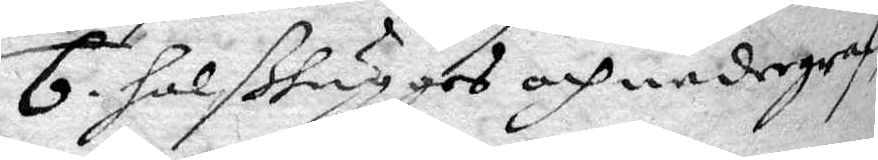6. halßhugges och nedergraf¬
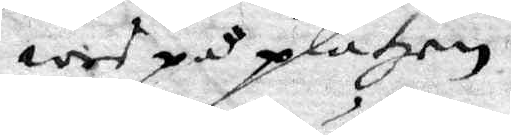wes på platzen
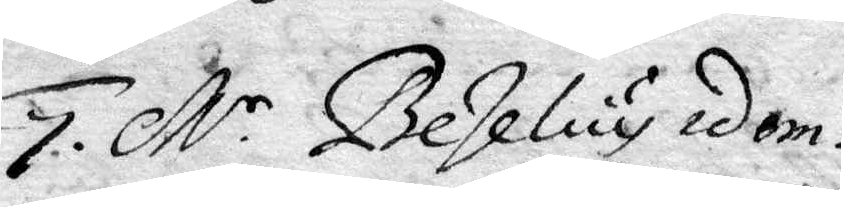7. M.r Beselius idem.
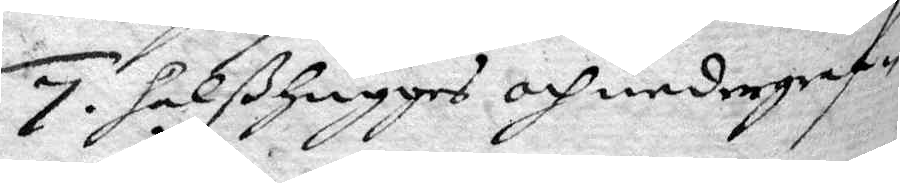7. halßhugges och nedergraf¬
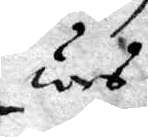wes.
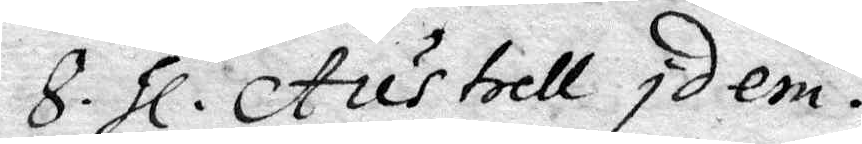8. hl. Austrell Idem.
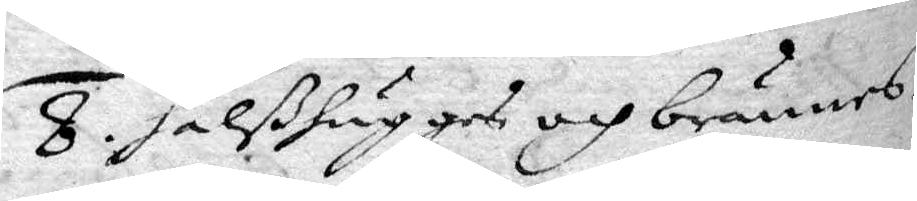8. halßhugges och brännes.
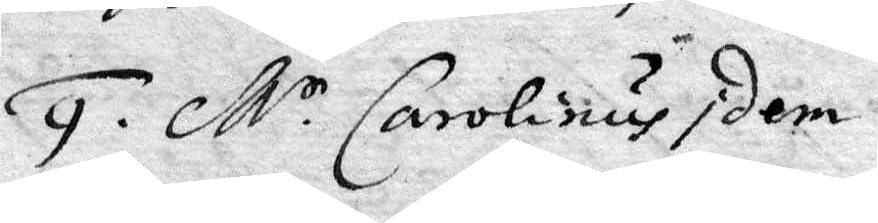9. M.r Carolinus Idem.
